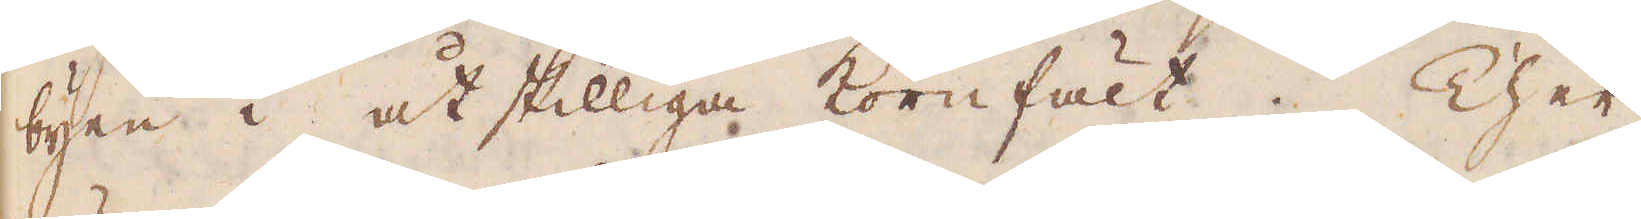byen i åtskilliga kornfält. Ther
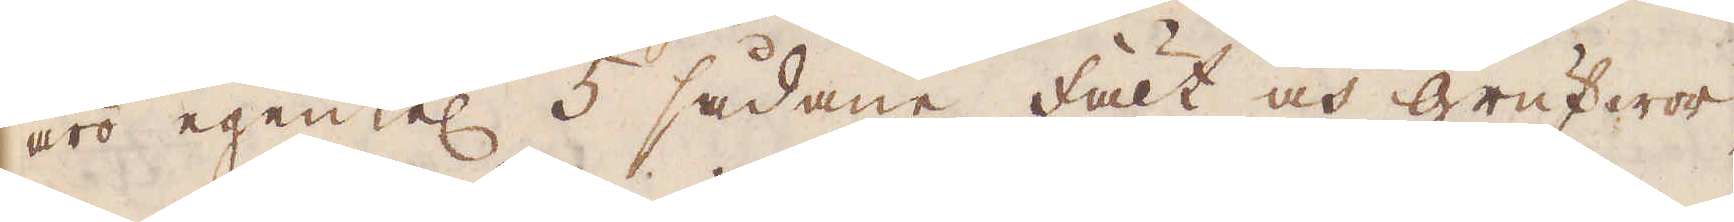äro egentel 5 sådane fält och grufwor,
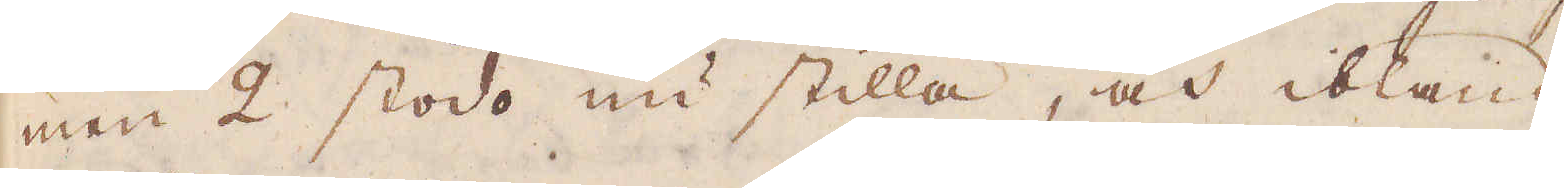men 2 stodo nu stilla, och ibland
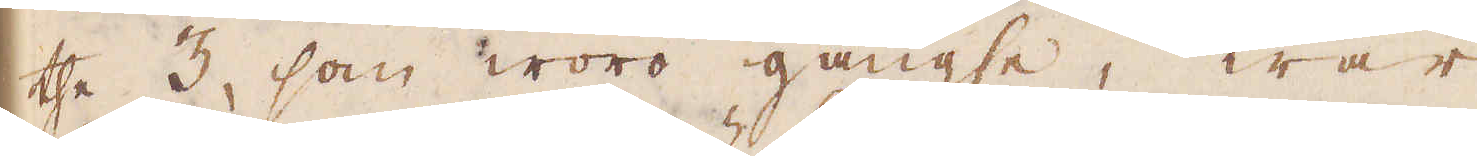the 3, som woro gängse, war
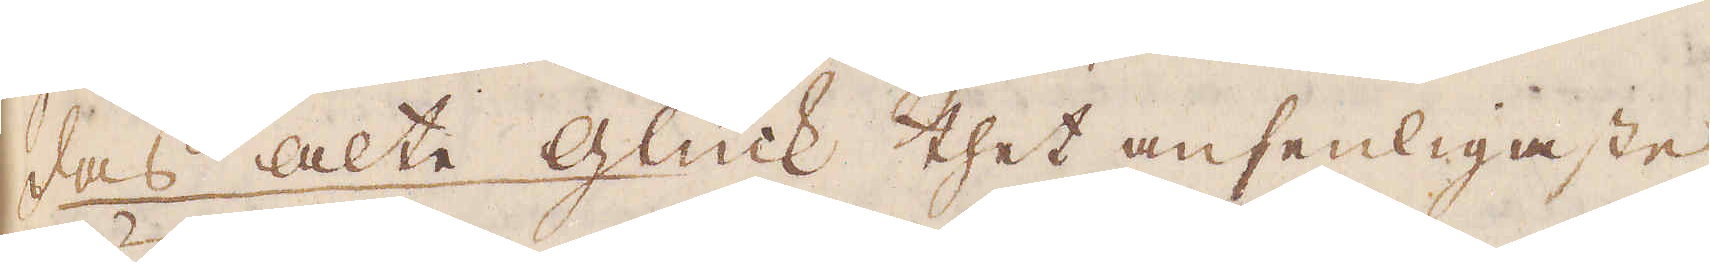das alte Glück thet ansenligaste,
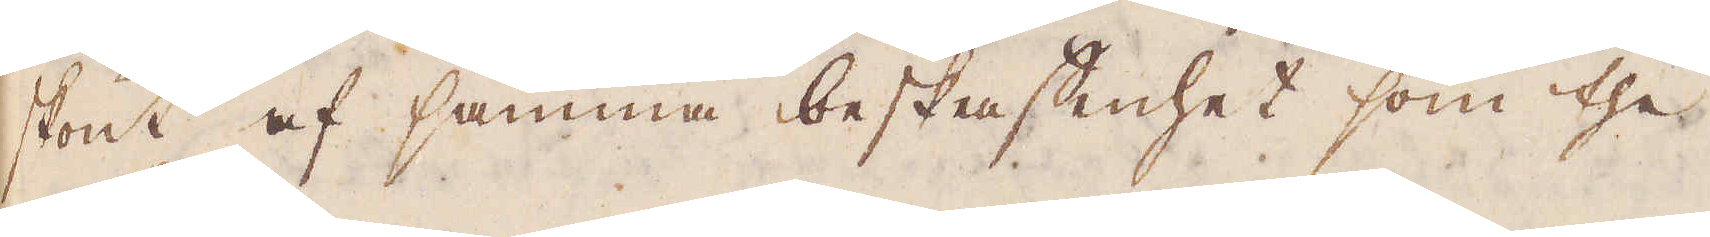skönt af samma beskaffenhet, som the
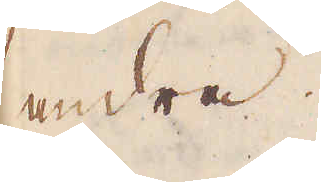andra.
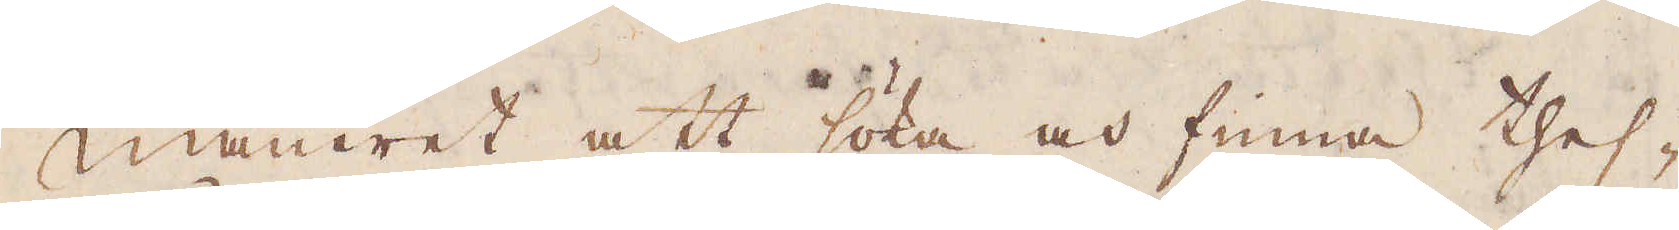Maneret att söka och finna thes-
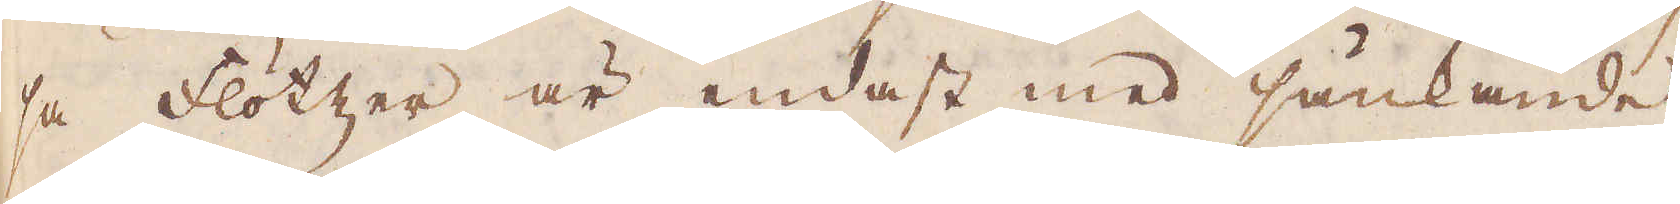sa flötzer är endast med sänkande
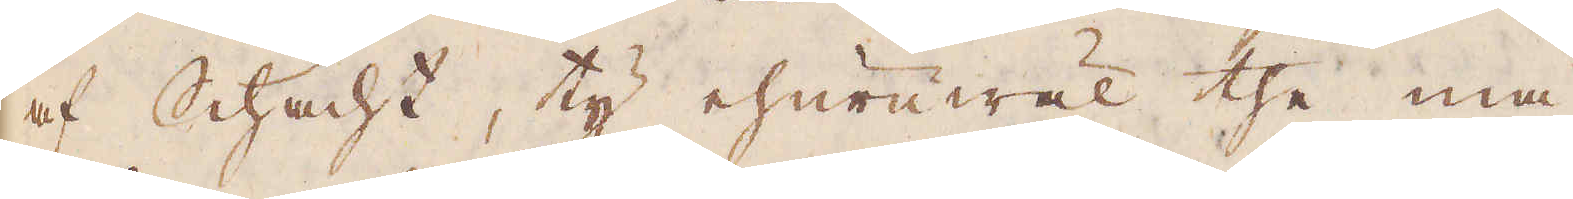af Schacht, ty ehuruwäl the må
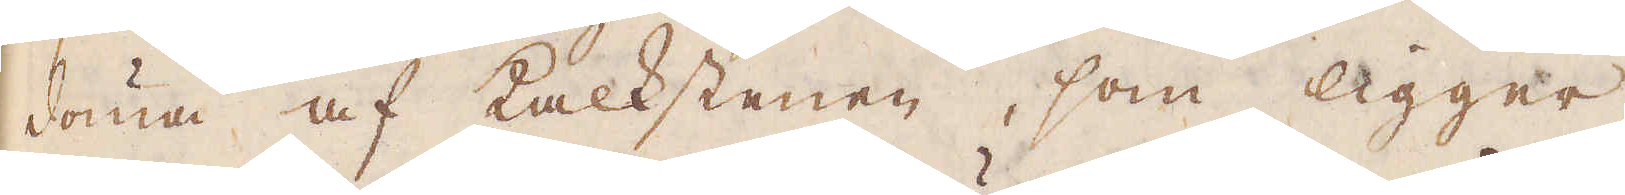döma af kalkstenen, som ligger
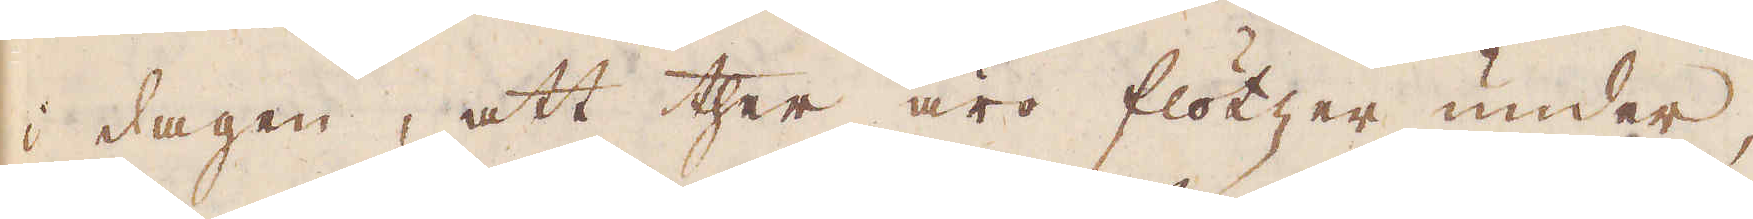i dagen, att ther äro flötzer under,
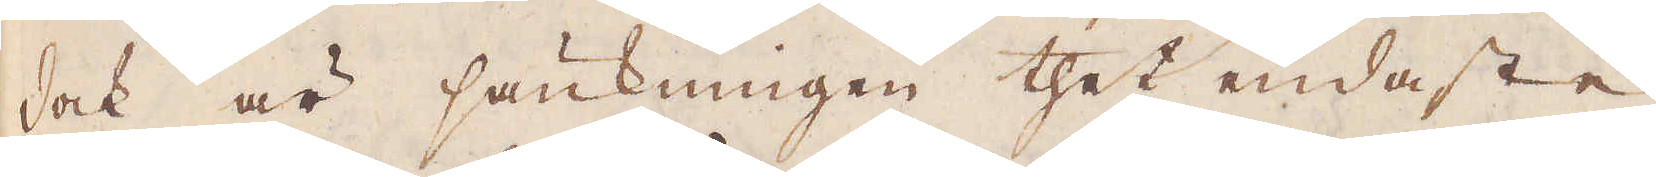dock är sänkningen thet endaste
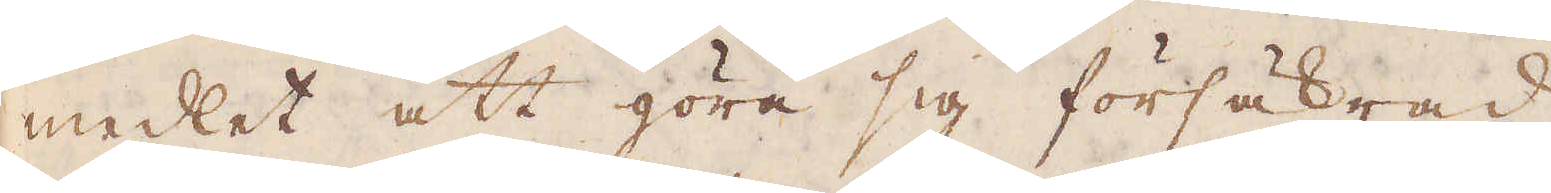medlet att göra sig försäkrad
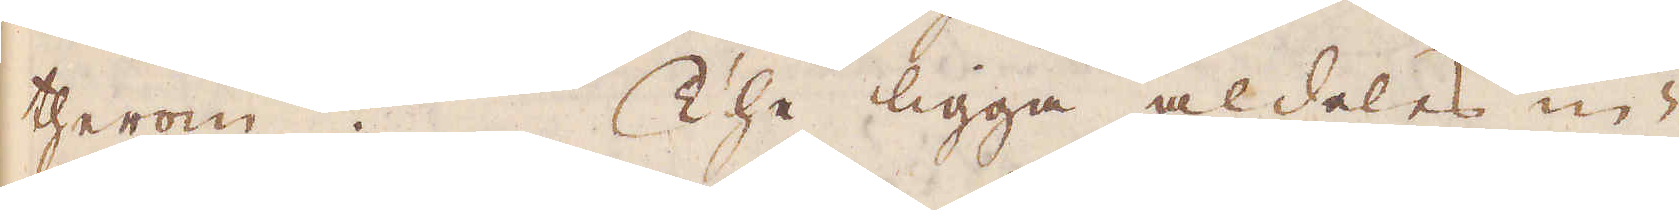therom. The ligga aldeles in-
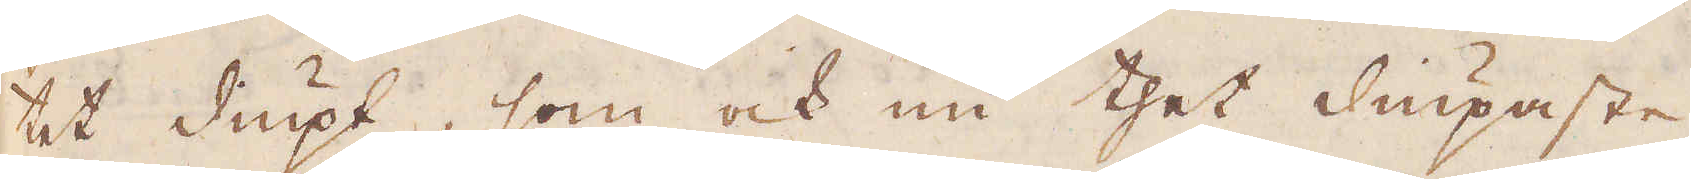tet diupt, som ock nu thet diupaste
